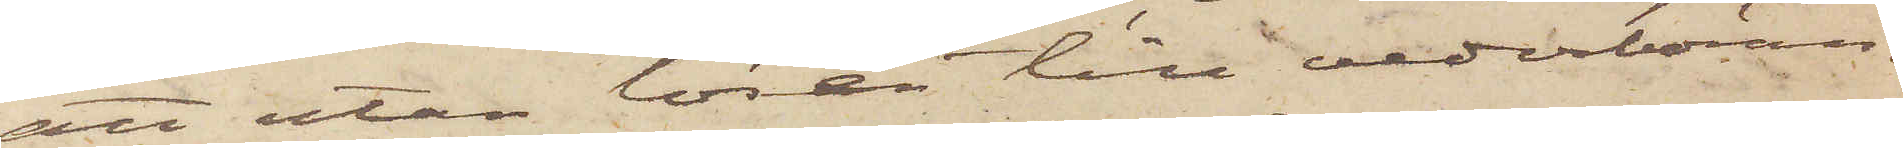att utan lösen till vederböran¬
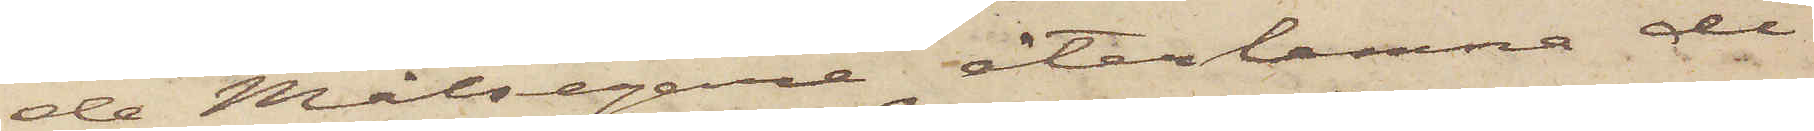de Målsegare återlemna de
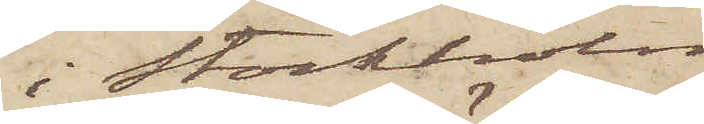i Stockholm
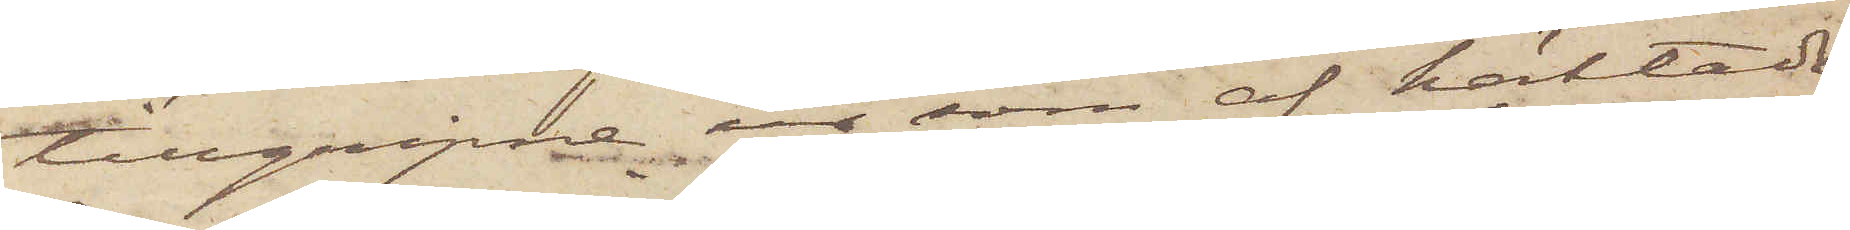tillgripne ur, som af häktade
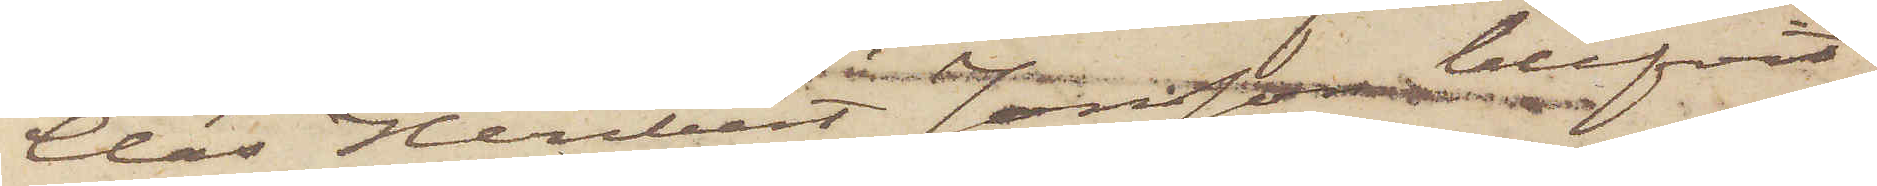Claes Heribert Jonsson blifvit
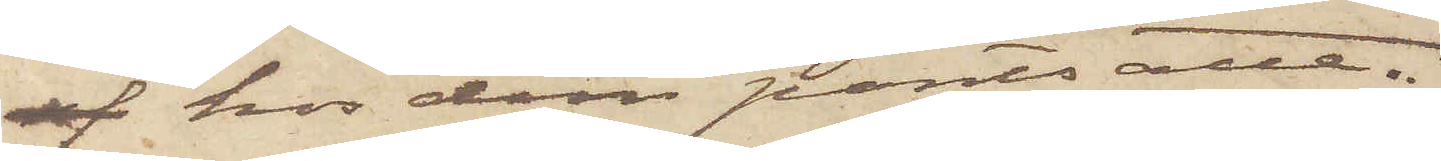af hos dem pantsatte.
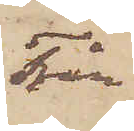Från
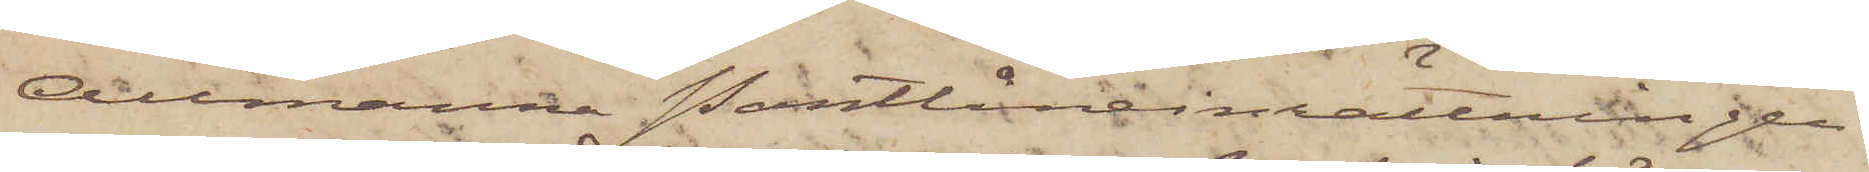Allmänna Pantlåneinrättningen
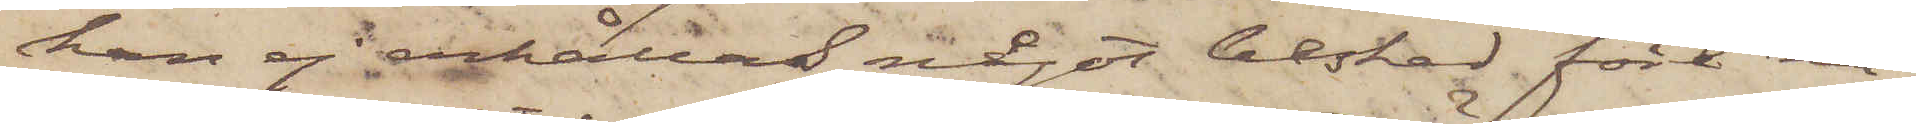kan ej erhållas något besked före nä¬
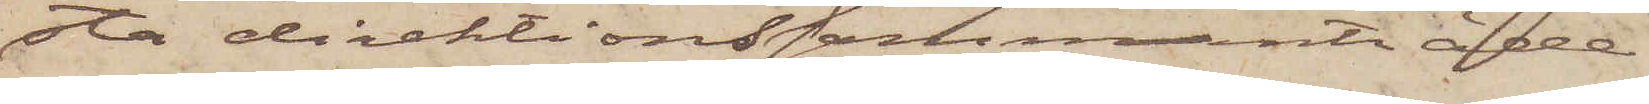sta direktionssammanträde.
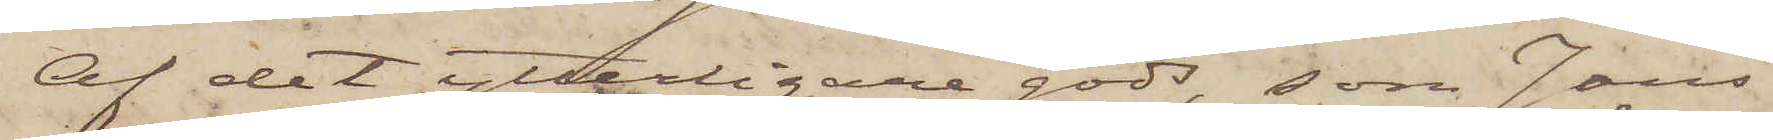Af det ytterligare gods, som Jans¬
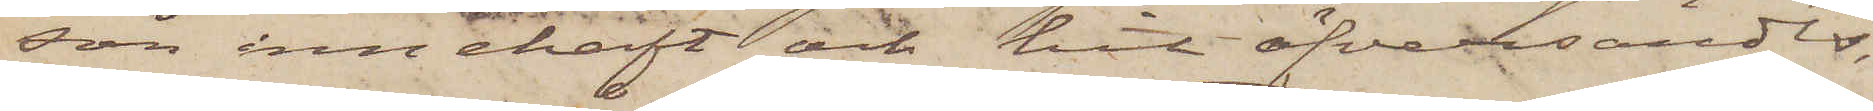son innehaft och hit öfversändes,
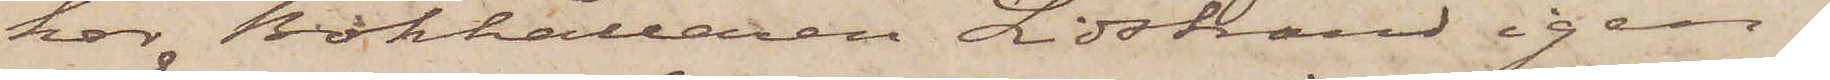har Bokhållaren Lidstrand igen¬
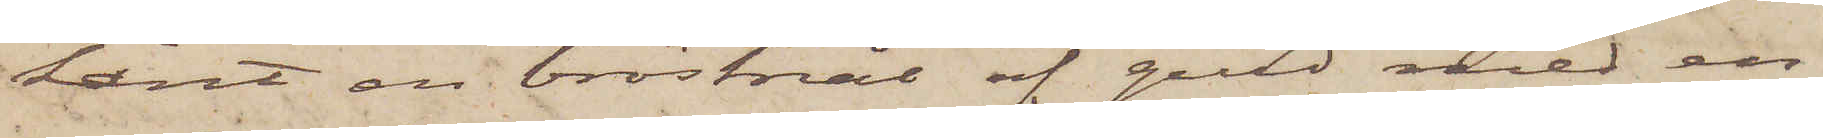känt en bröstnål af guld med en
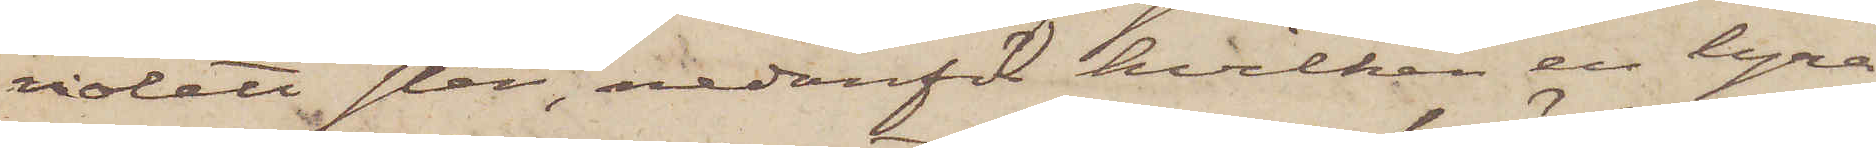violett sten, nedanför hvilken en lyra
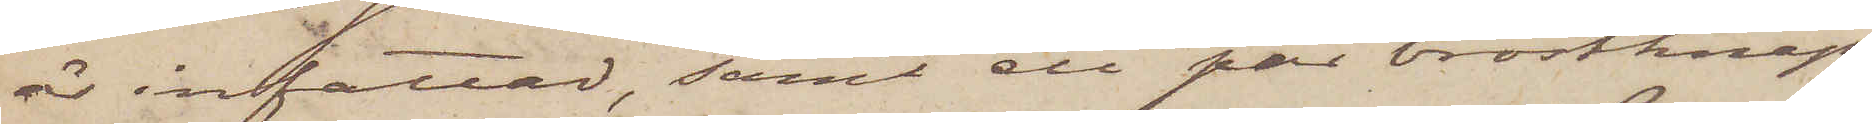är infattad samt ett par bröstknap¬
